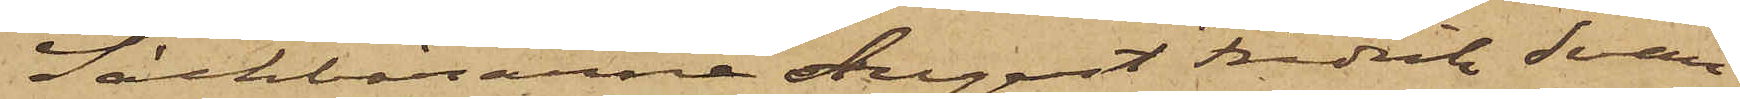Säckbärarne August Fredrik Svan,
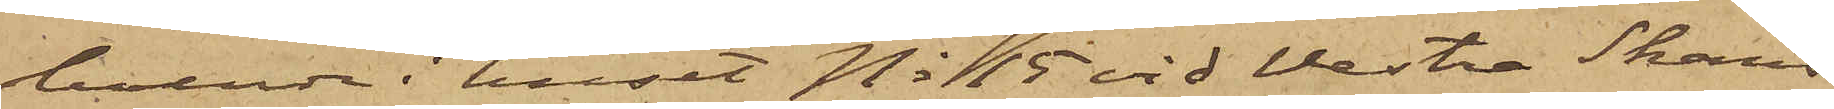boende i huset No 15 vid Vestra Skans¬
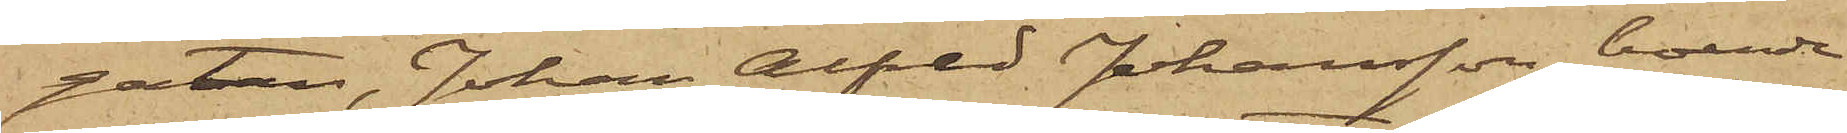gatan, Johan Alfred Johansson, boende
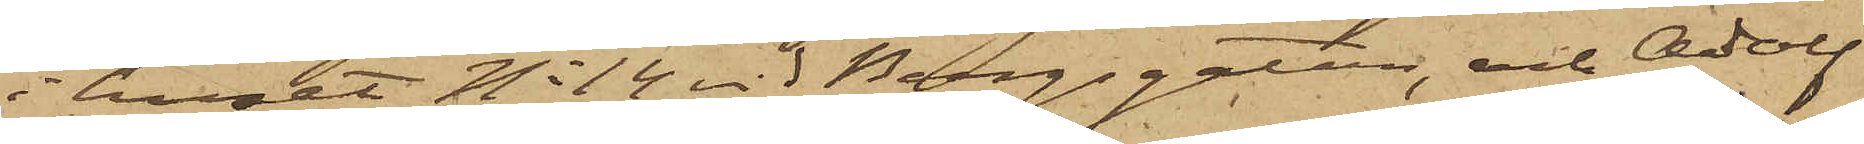i huset No 14 vid Bergsgatan, och Adolf
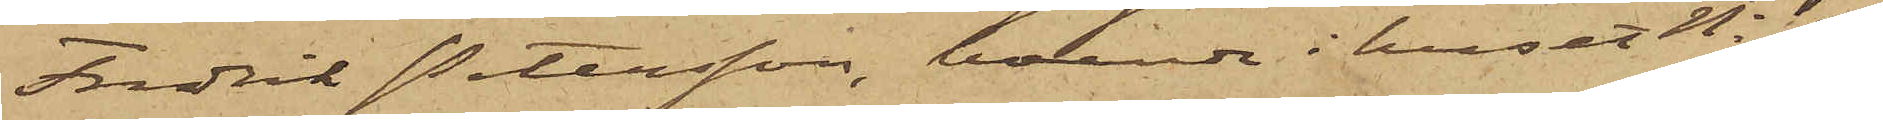Fredrik Petersson, boende i huset No 27
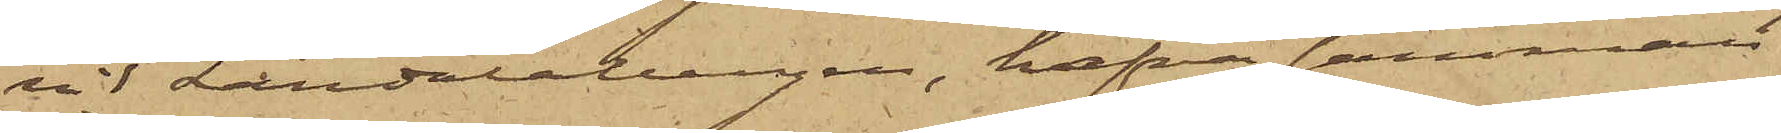vid Landalabergen, hafva samman¬
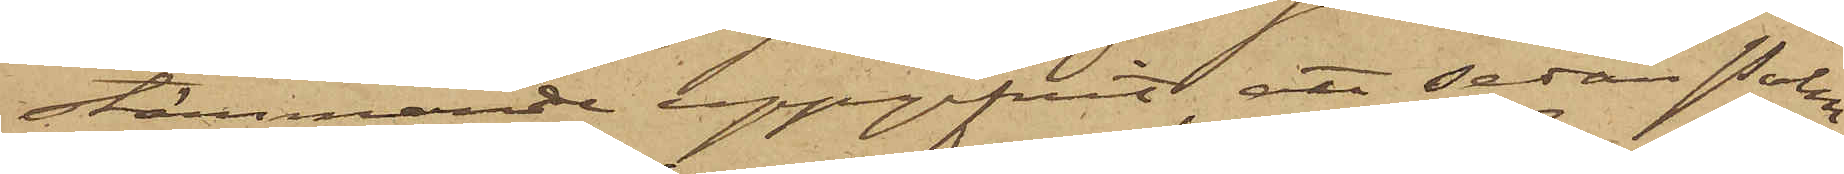stämmande uppgifvit, att sedan Palm¬
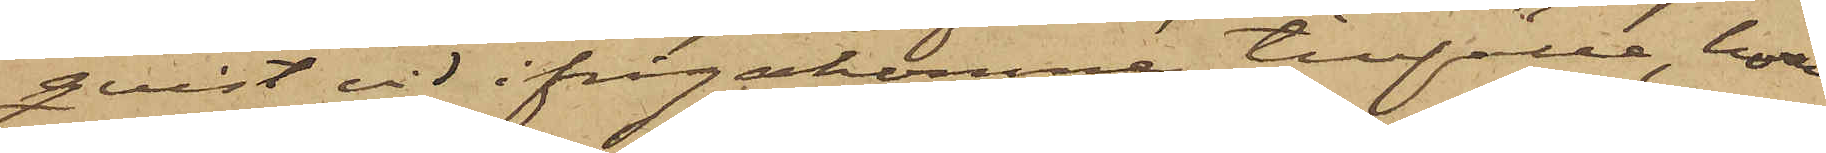qvist vid ifrågakomne tillfälle, hvar¬
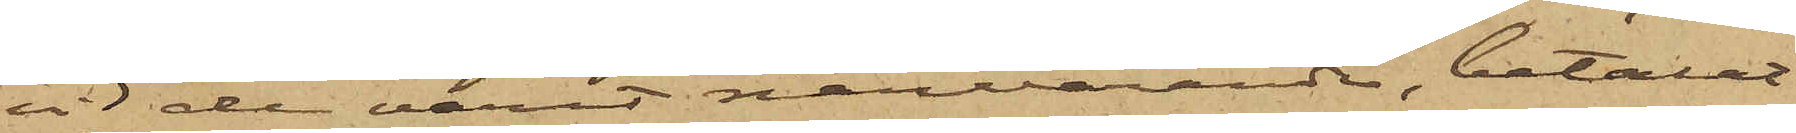vid de varit närvarande, betalat
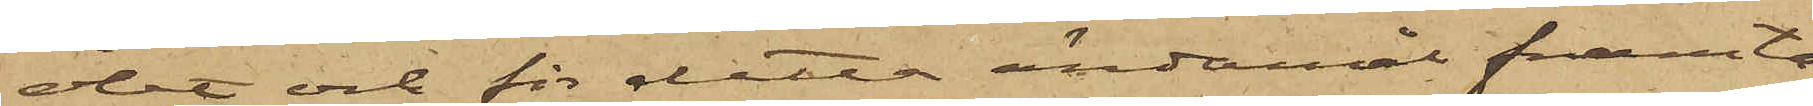ölet och för detta ändamål framta¬
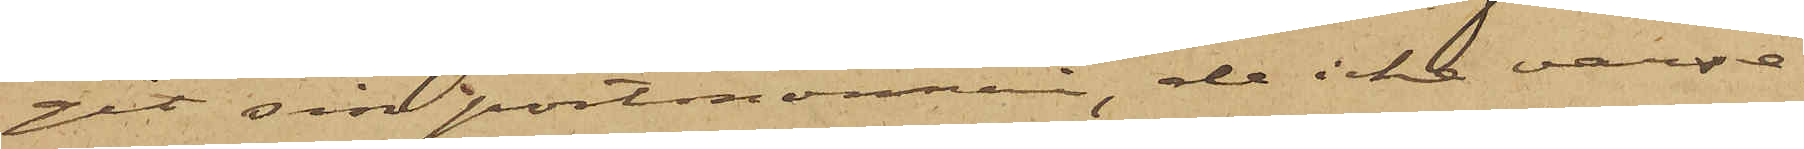git sin portmonnai, de icke varse¬
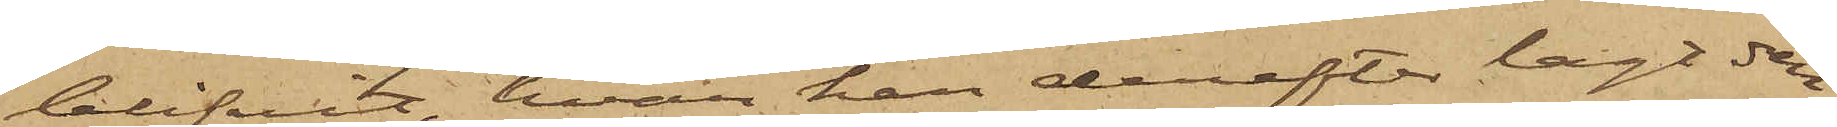blifvit, hvar han derefter lagt den;
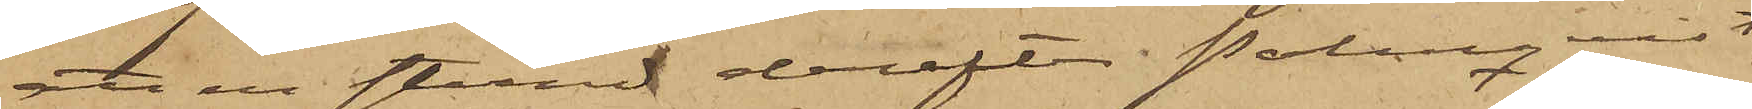att en stund derefter Palmqvist
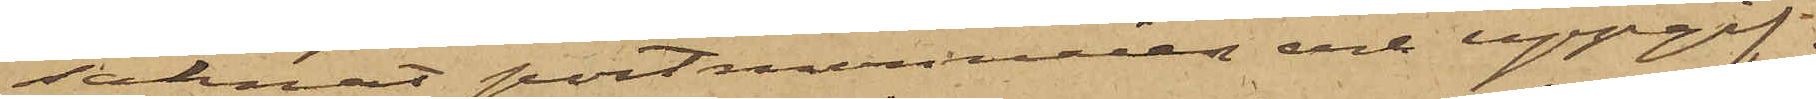saknat portmonnaien och uppgif¬
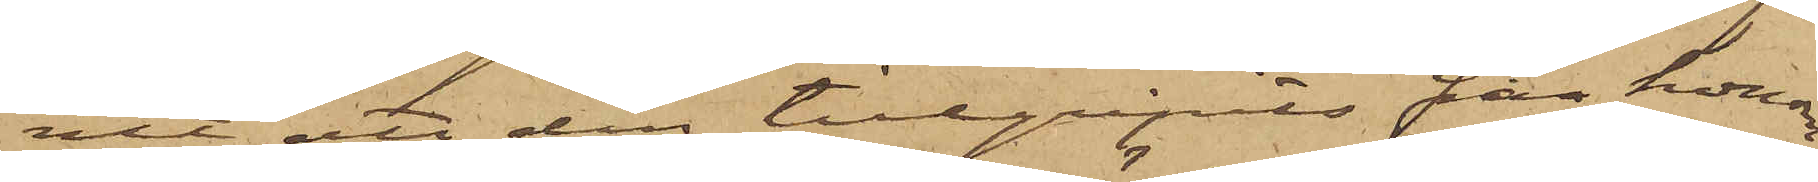vit att den tillgripits från honom;
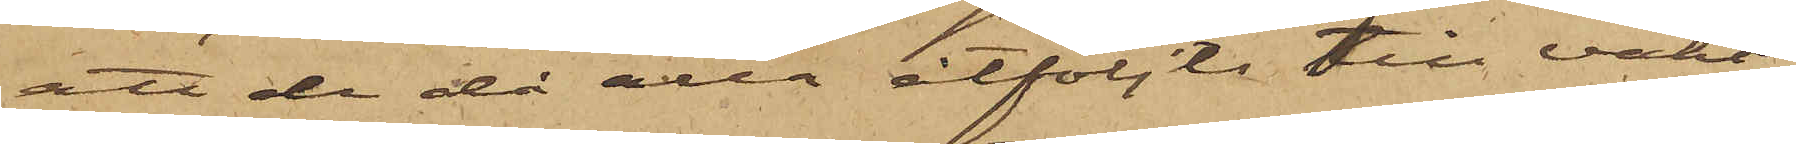att de då alla åtföljts till vakt¬
